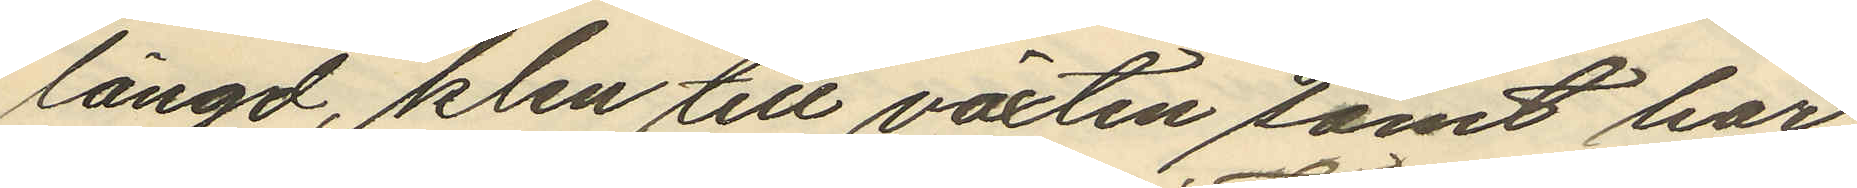längd, klen till växten samt har
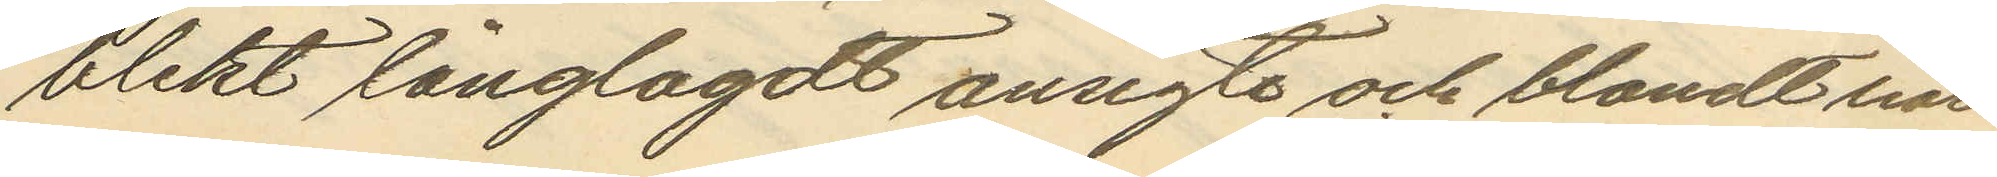blekt långlagdt ansigte och blondt hår
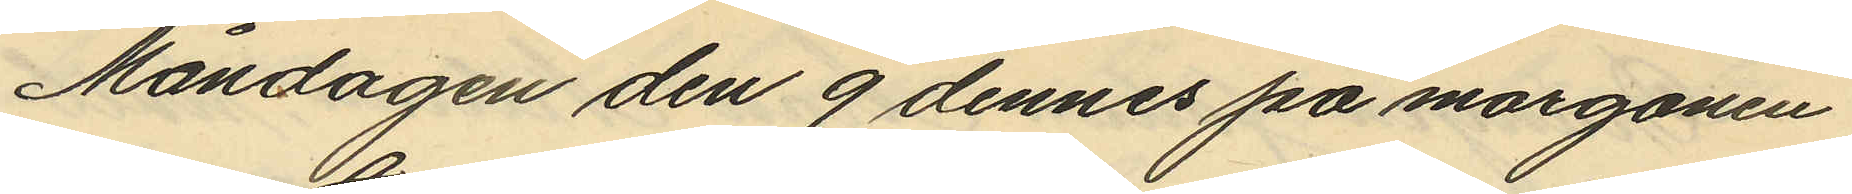Måndagen den 9 dennes på morgonen
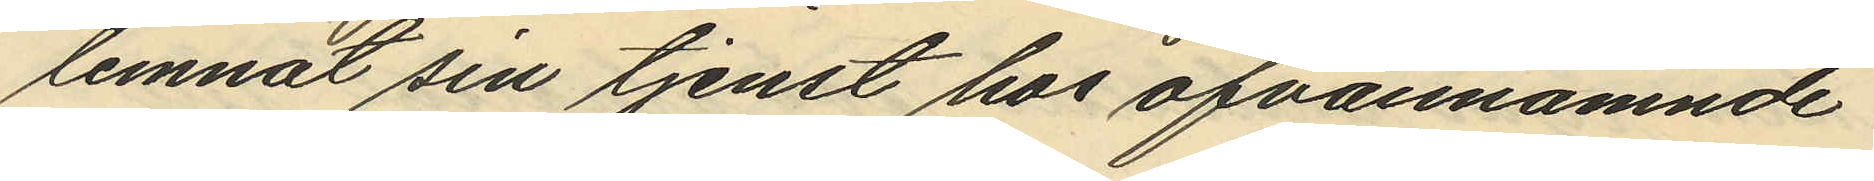lemnat sin tjenst hos ofvannämnde
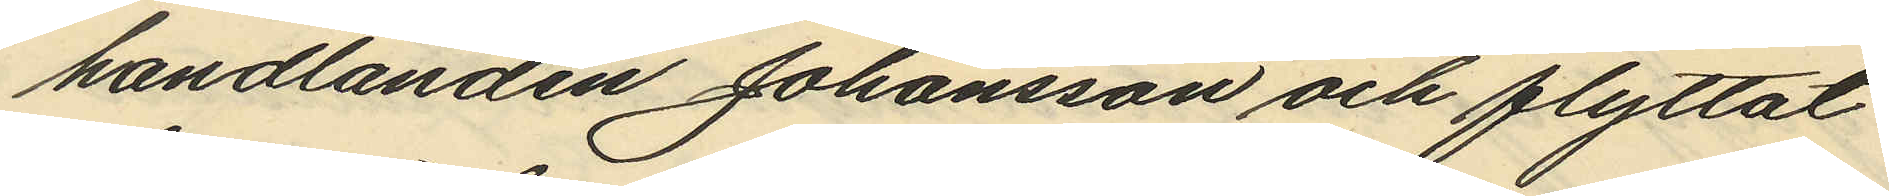handlanden Johansson och flyttat
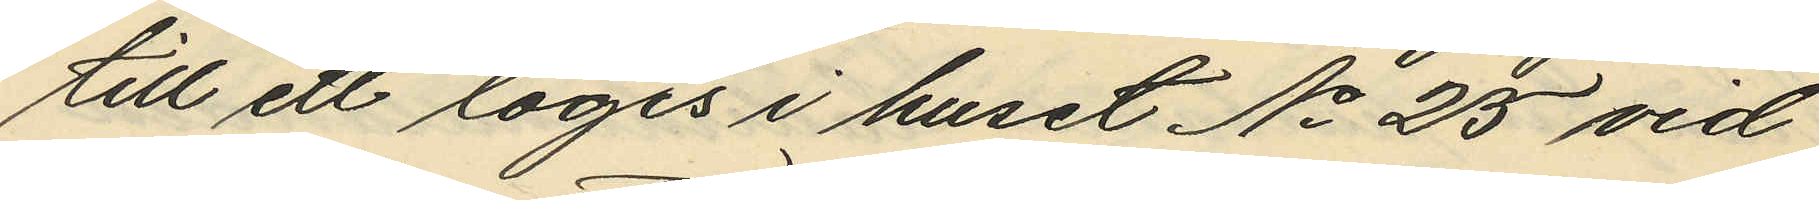till ett logis i huset No 25 vid
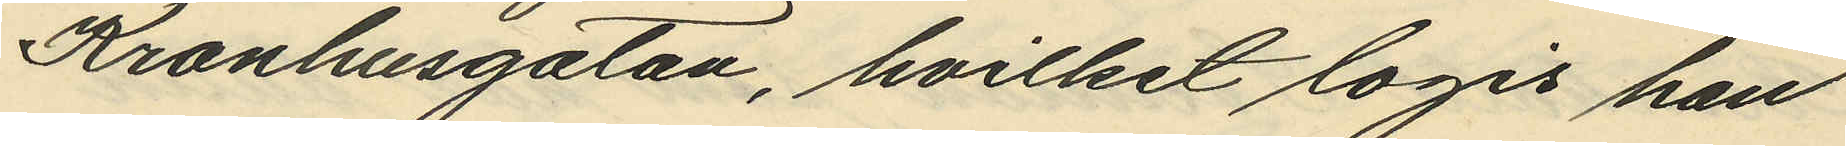Kronhusgatan, hvilket logis han
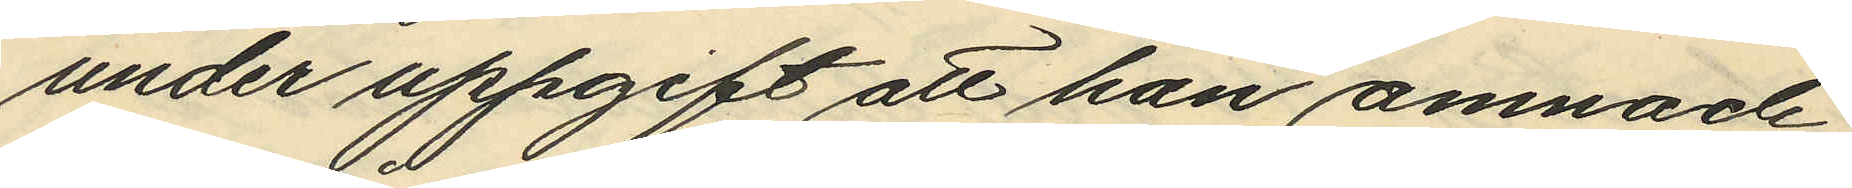under uppgift att han amnade
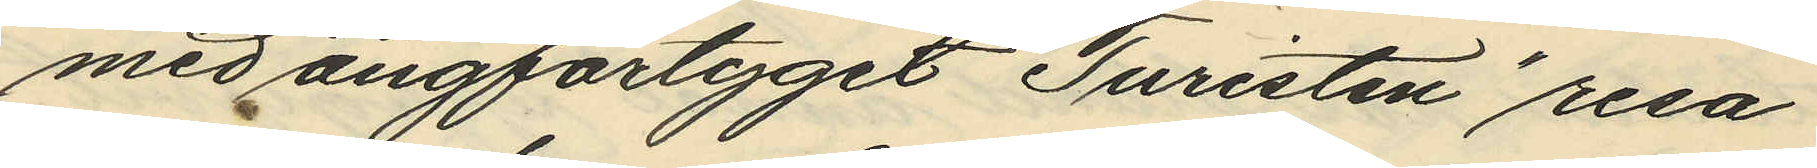med ångfartyget "Turisten" resa
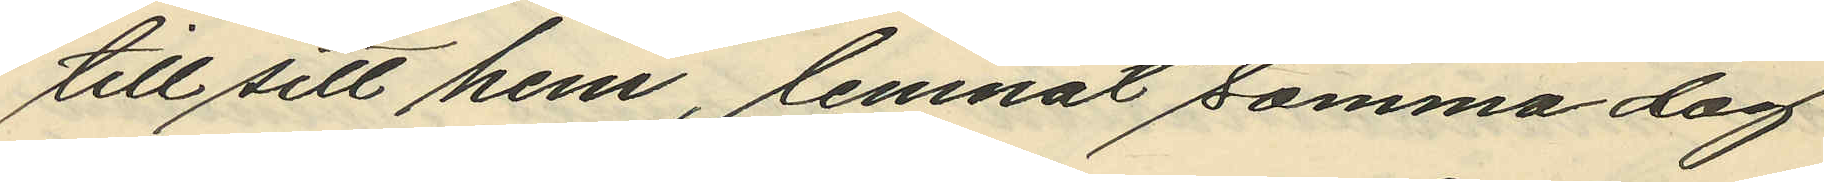till sitt hem, lemnat samma dag
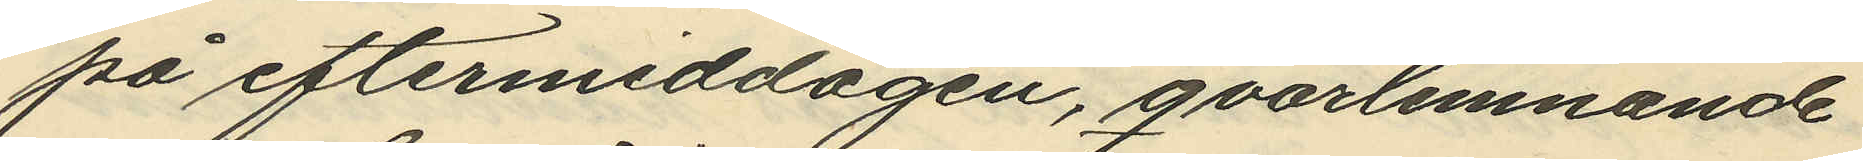på eftermiddagen, qvarlemnande
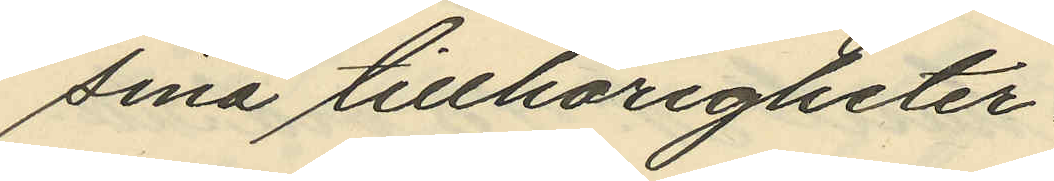sina tillhörigheter.
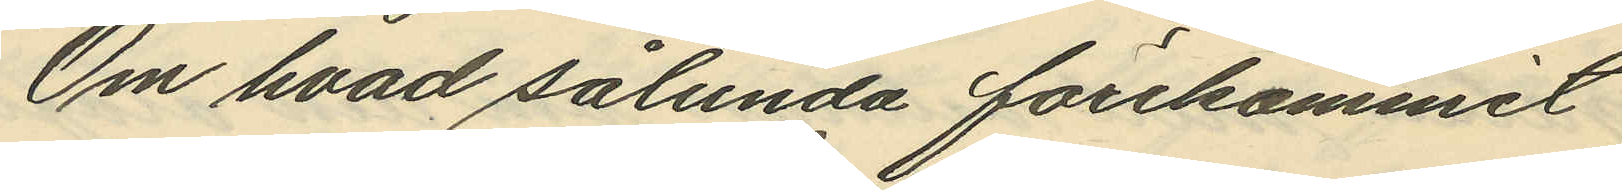Om hvad sålunda förekommit
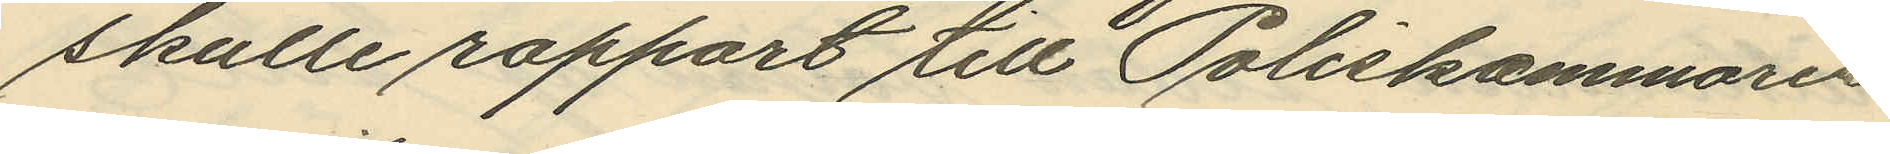skulle rapport till Poliskammaren
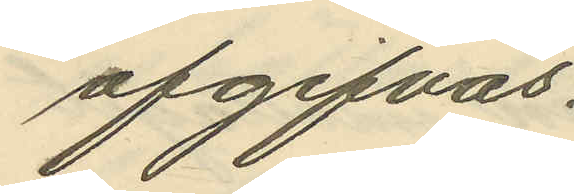afgifvas.
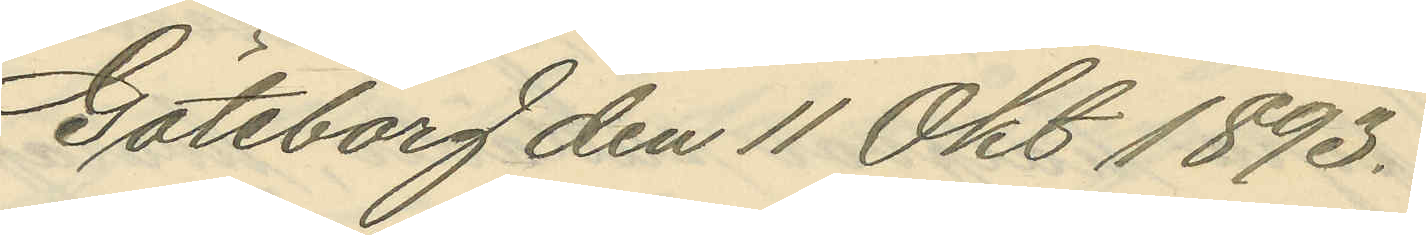Göteborg den 11 Okt 1893.
